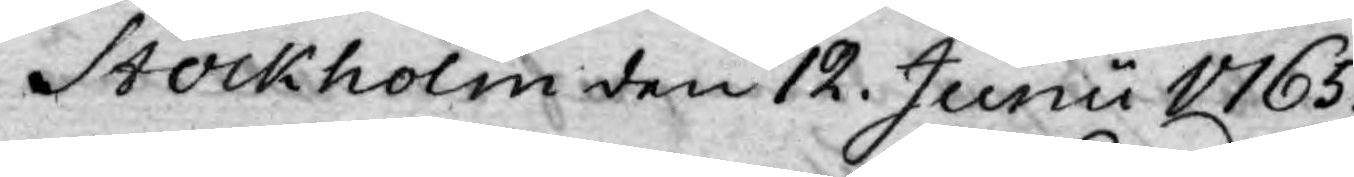Stockholm den 12. Junii 1765.
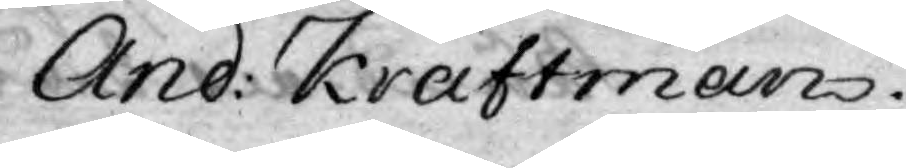And: Kraftman.
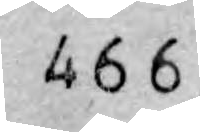466
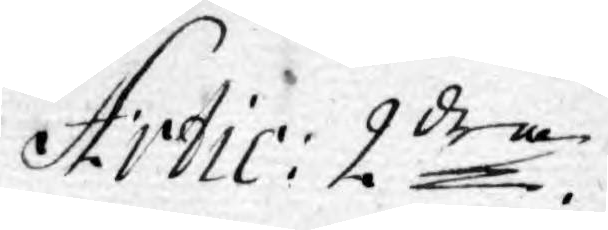Artic: 2dra
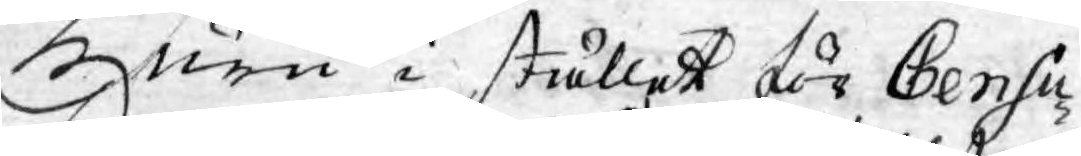Huru i stället för Censu¬
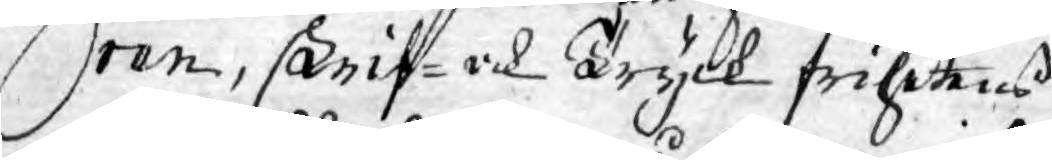ren, skrif- och Tryck frihetens
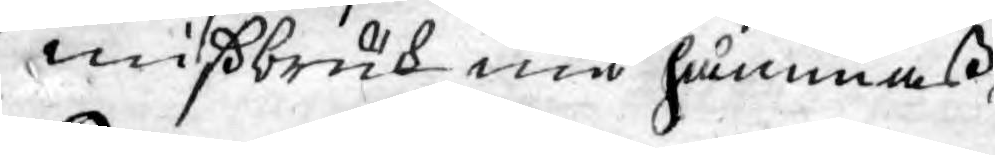mißbruk må hämmaß.
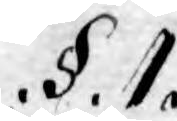§. 1.
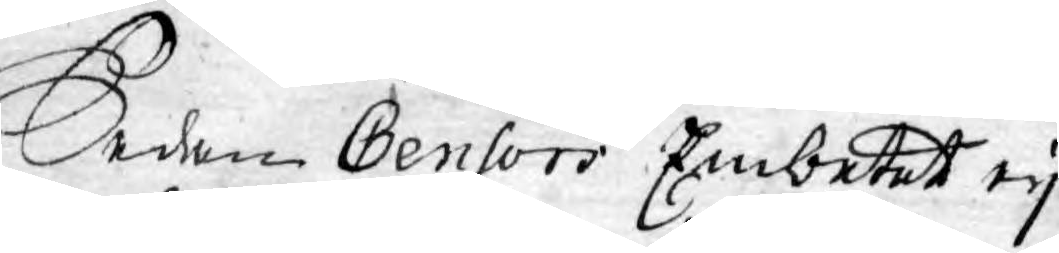Sedan Censors Embetet ey
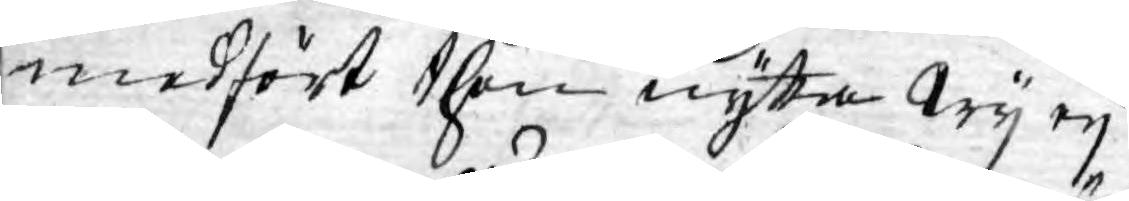medfört then nytta Wy ey
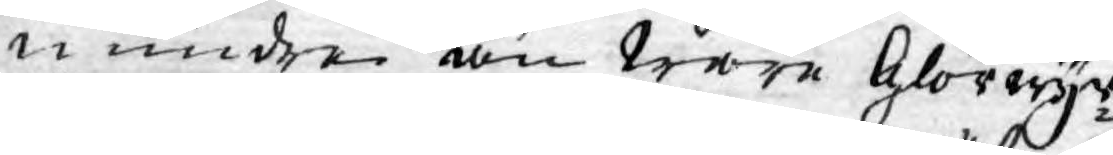mindre än wåre Glorwyr¬
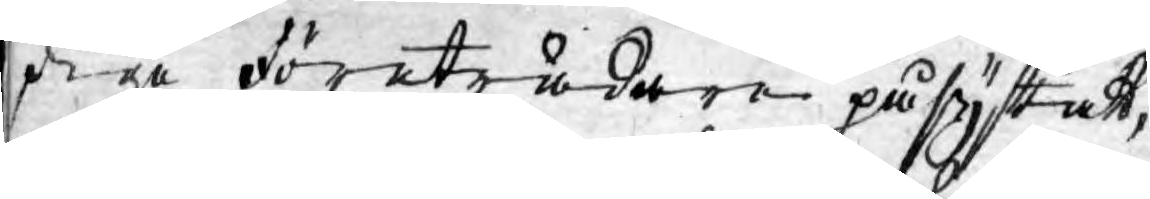dige företrädare påsyftatt,
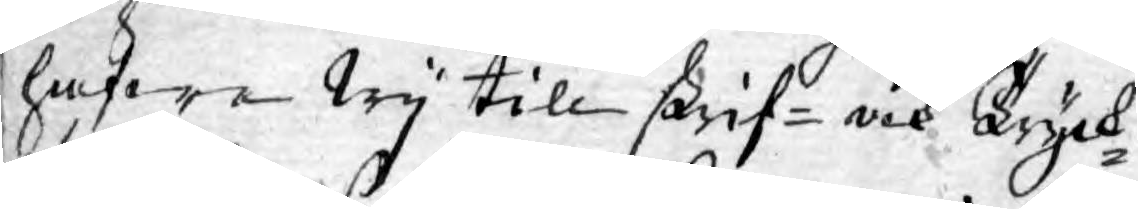hafwa Wy till skrif- och Tryck¬
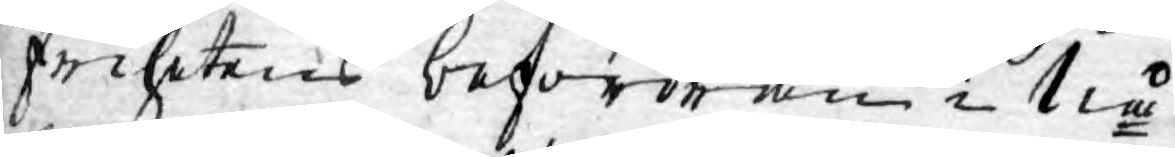frihetens befordran i Nå¬
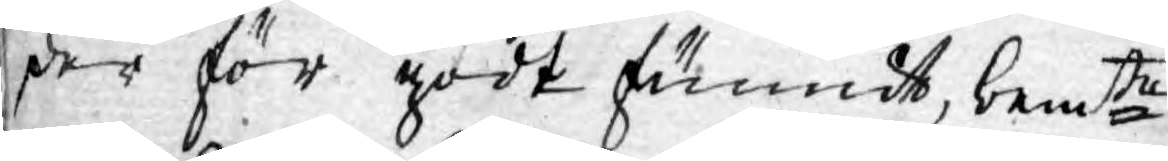der för godt funnit, bemte
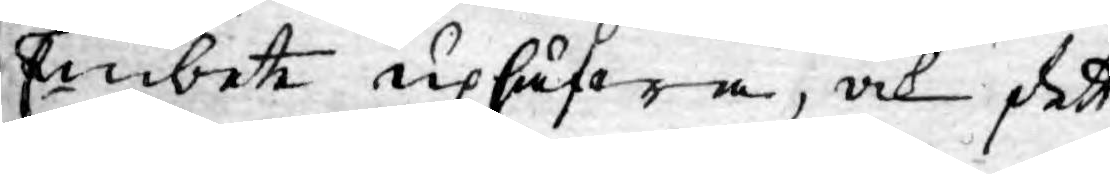Embete uphäfwa, och dett
